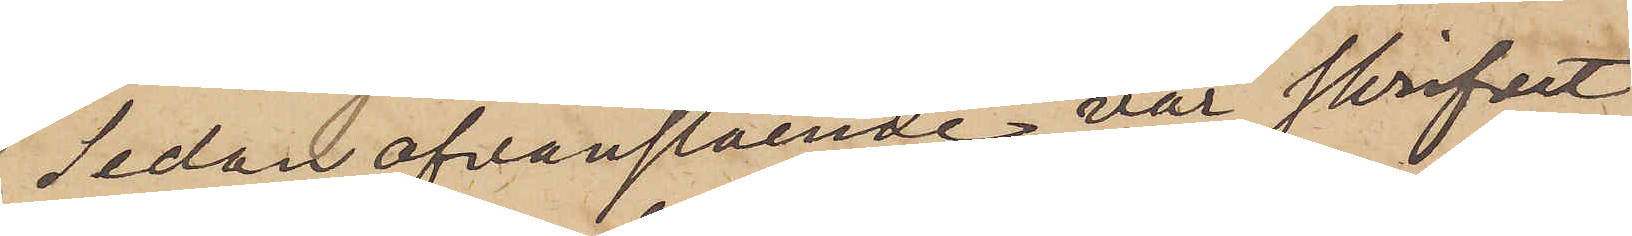Sedan ofvanstående var skrifvet
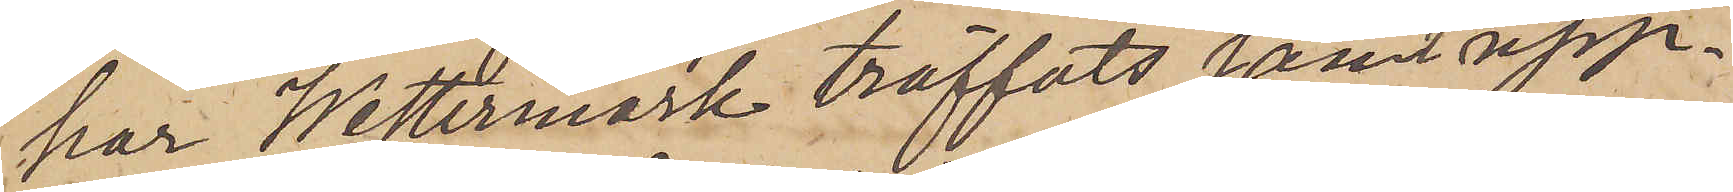har Westermark träffats samt upp¬
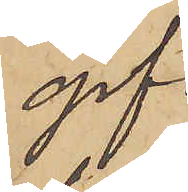gif¬
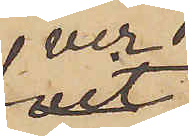ver,
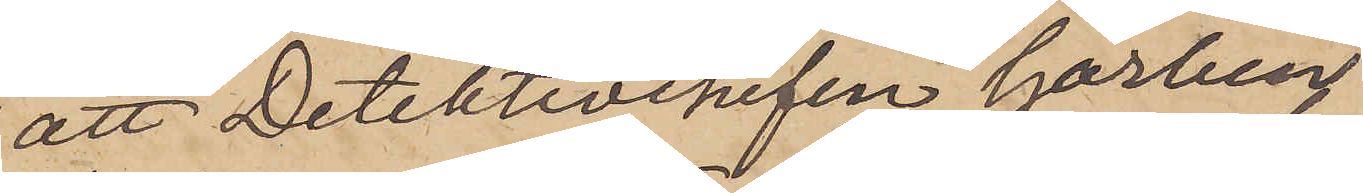att Detektivchefen Garberg
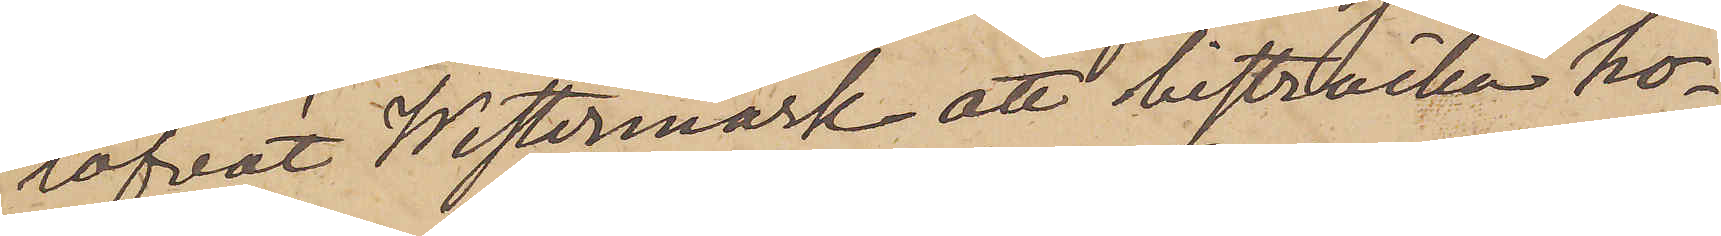lofvat Westermark att bisträcka ho¬
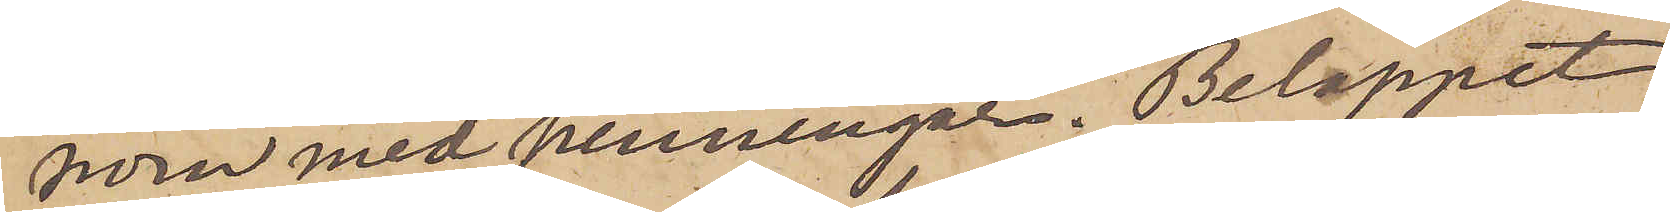nom med penningar. Beloppet
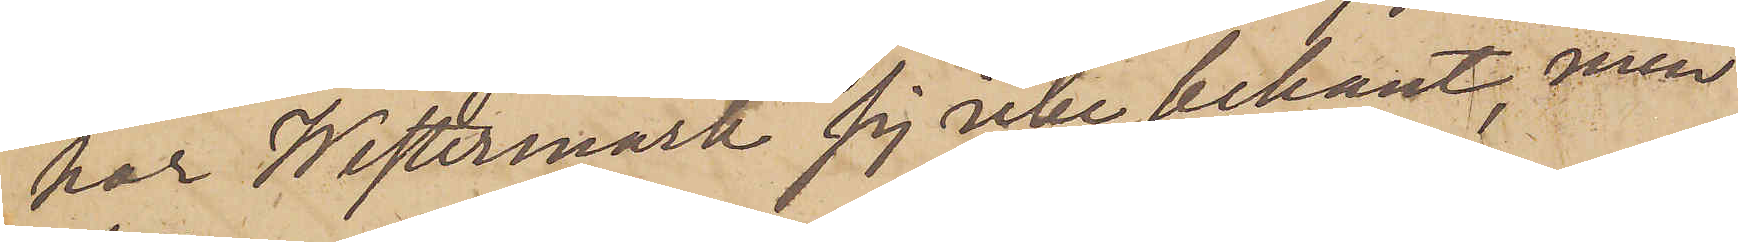har Westermark sig icke bekant, men
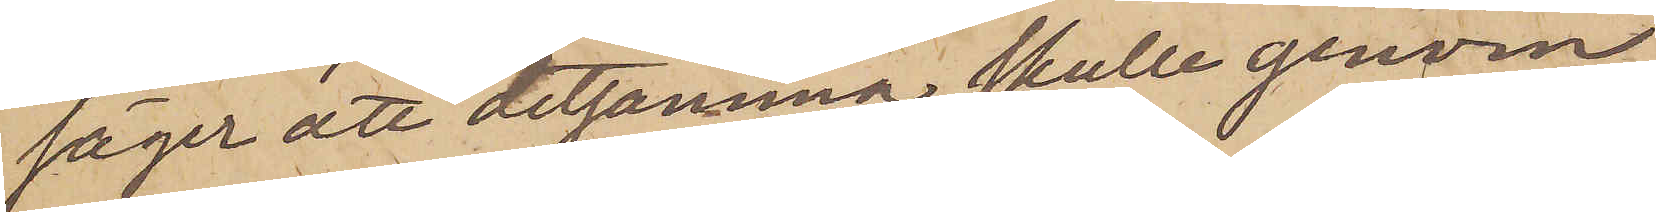säger att detsamma skulle genom
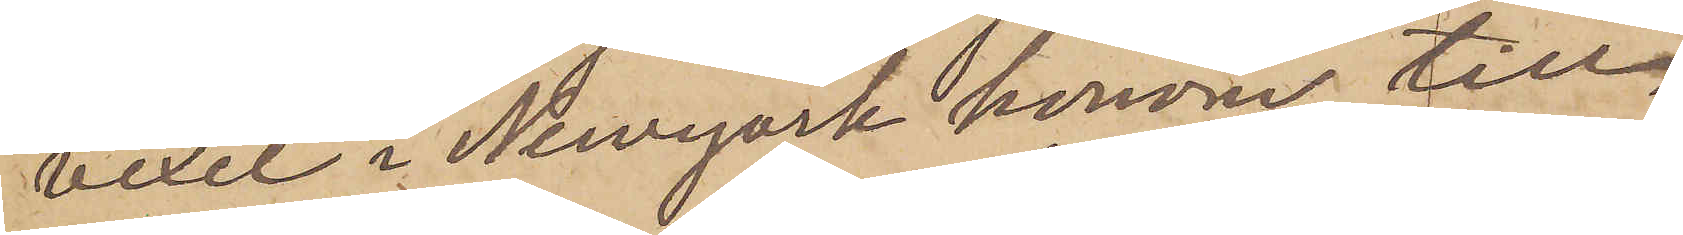vexel i Newyork honom till¬
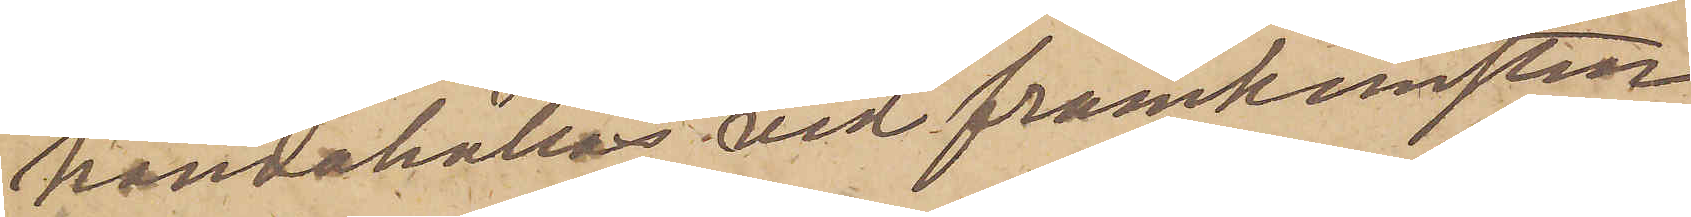handehållas vid framkomsten
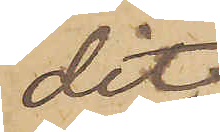dit.
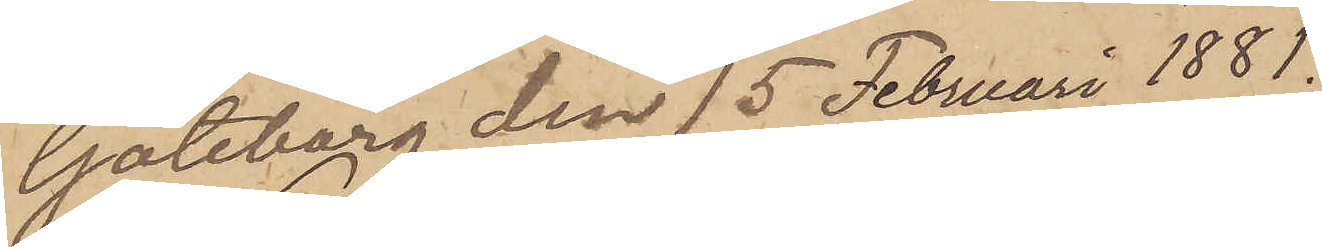Göteborg den 15 Februari 1881.
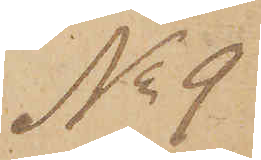No 9
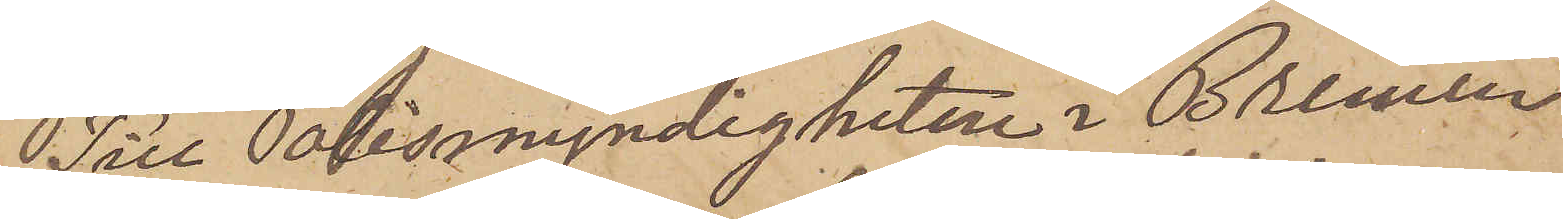Till Polismyndigheten i Bremen
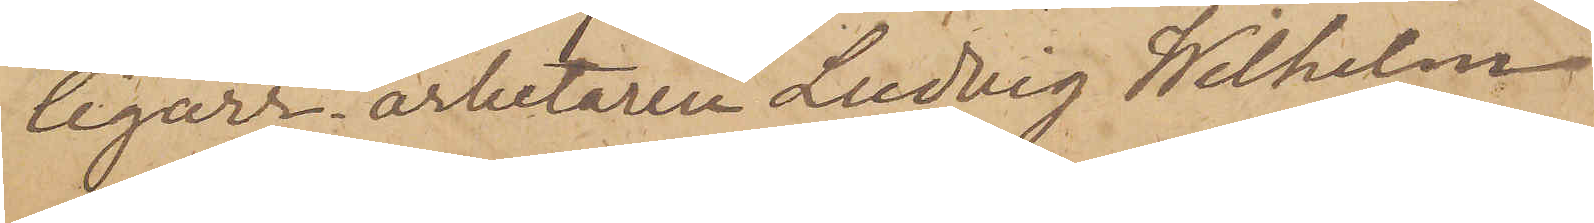Cigarrarbetaren Ludvig Wilhelm
